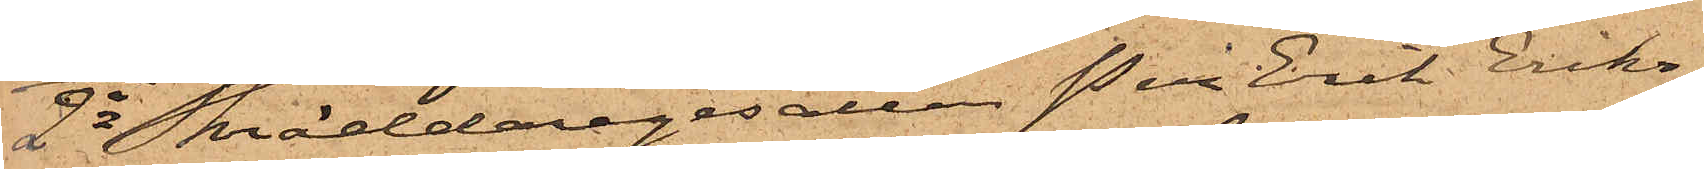2o Skräddaregesällen Per Erik Eriks¬
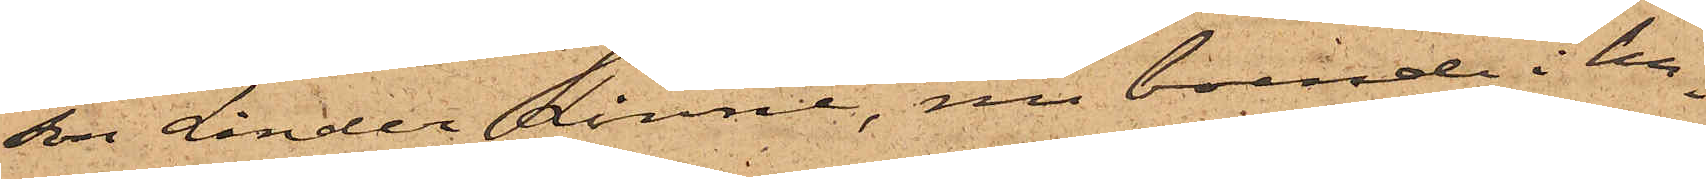son Linder Linné, nu boende i hu¬
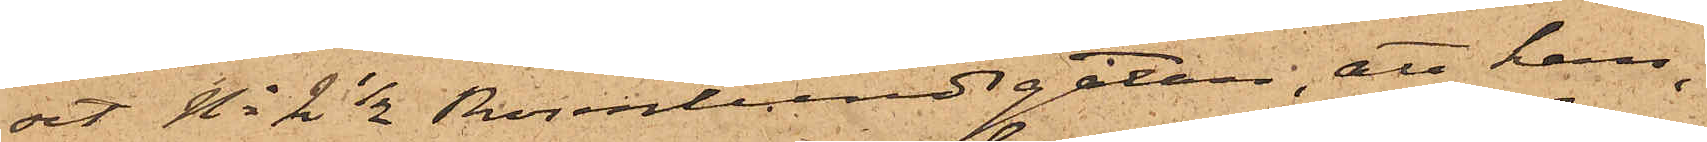set No 2 1/2 Rosenlundsgatan, att han,
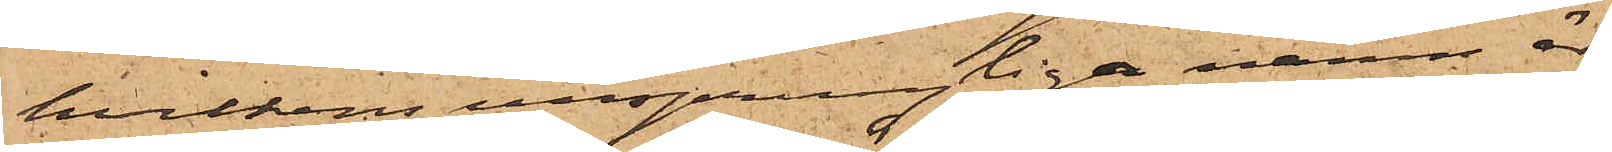hvilkens ursprungliga namn är
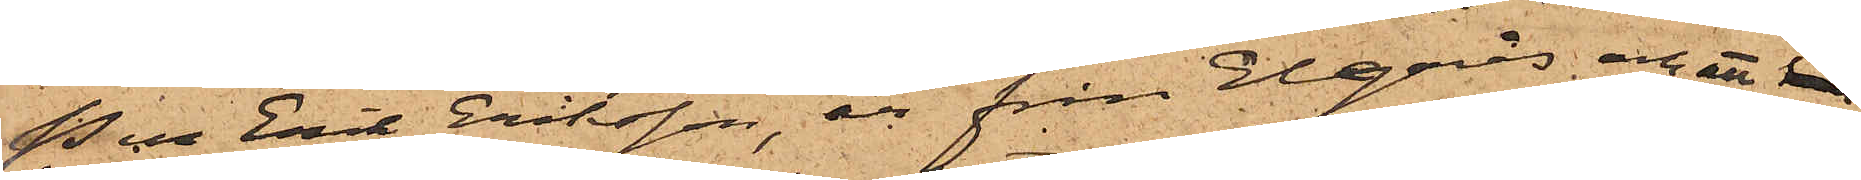Per Erik Eriksson, är från Elgarås och att han
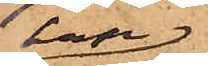han
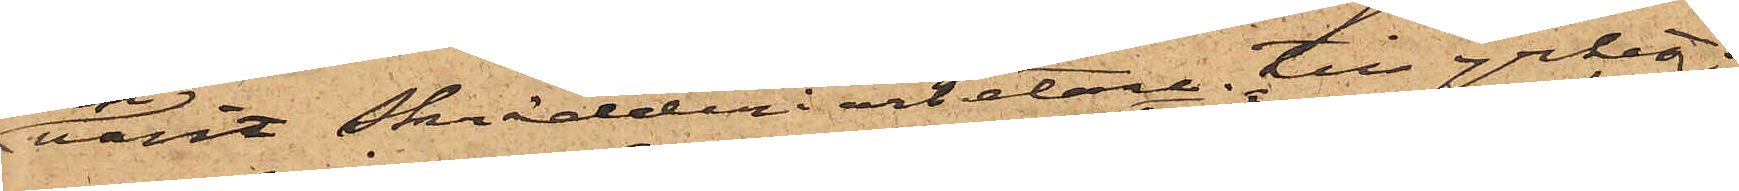varit Skrädderiarbetare till yrket.
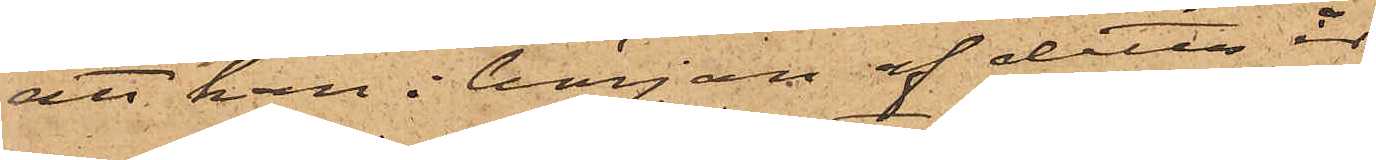att han i början af detta år
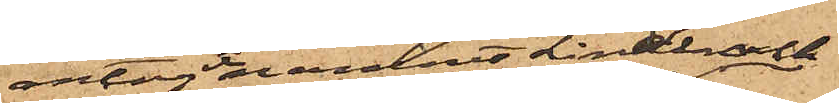antagit namnet Linder och
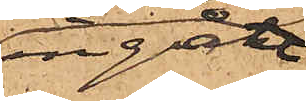ingått
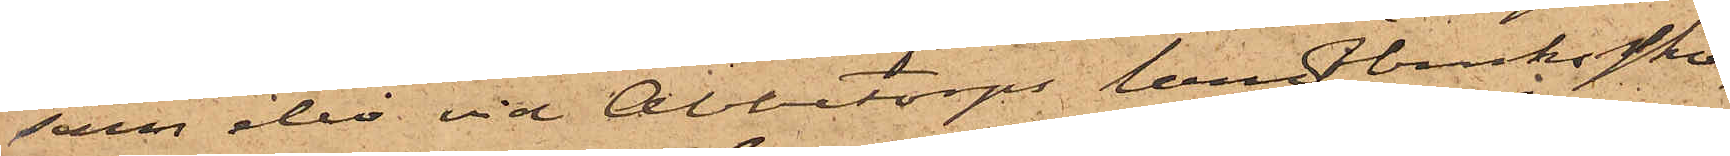som elev vid Abbetorps landtbrukssko¬
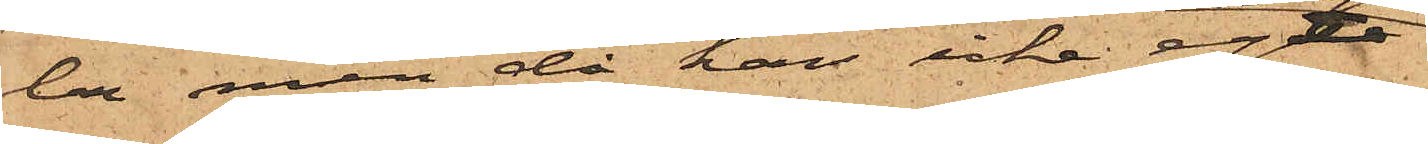la men då han icke egt
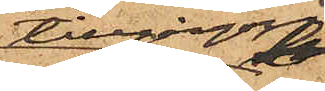tillgångar
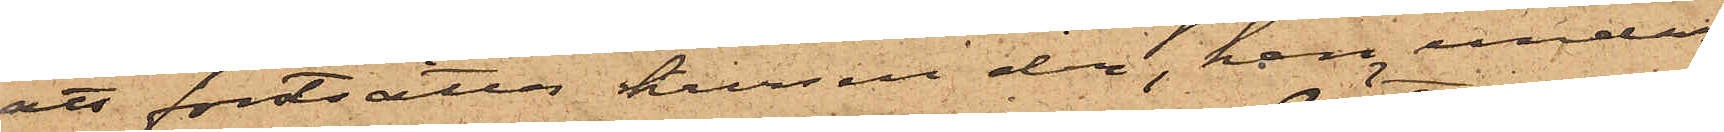att fortsatta kursen der, han under
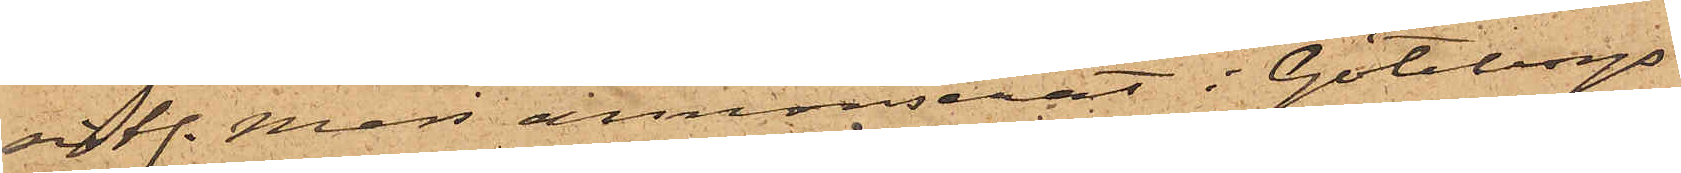sistl. Mars annonserat i Göteborgs
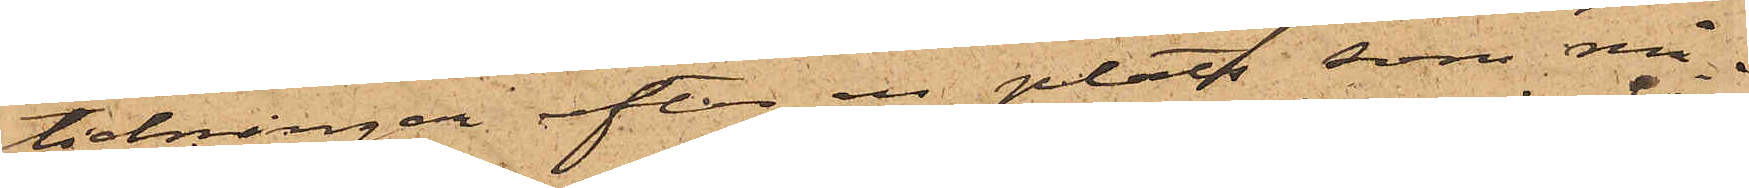tidningar efter en plats som må¬
